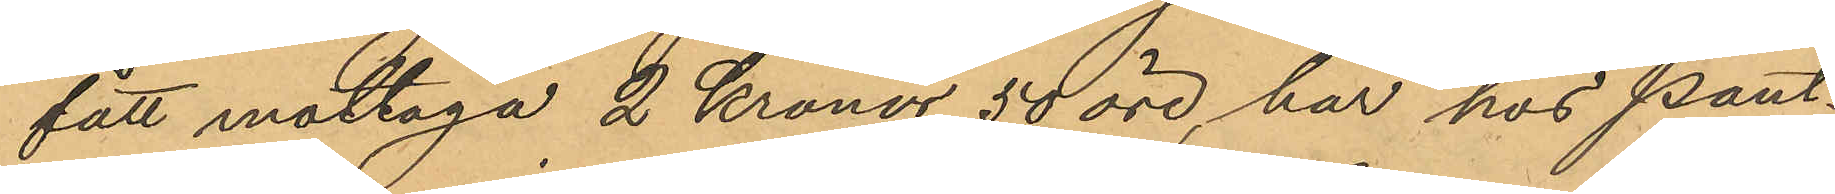fått mottaga 2 Kronor 50 öre, har hos Pant¬
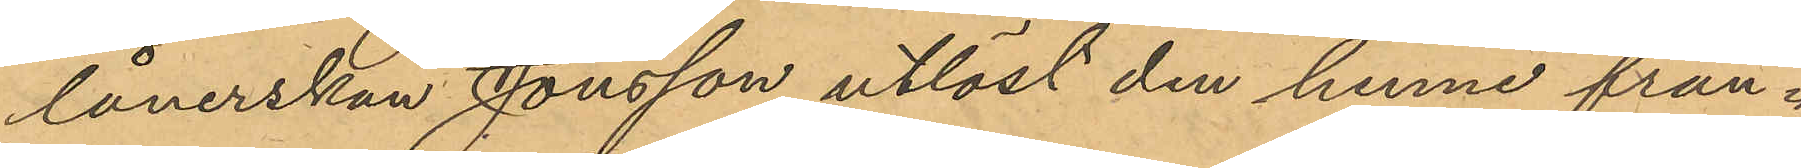lånerskan Jonsson utlöst den henne från¬
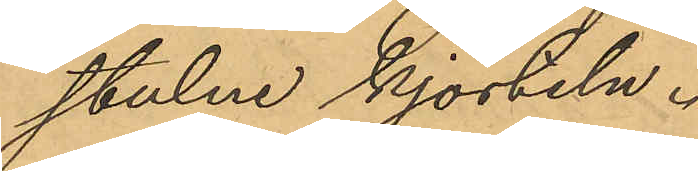stulne kjorteln.
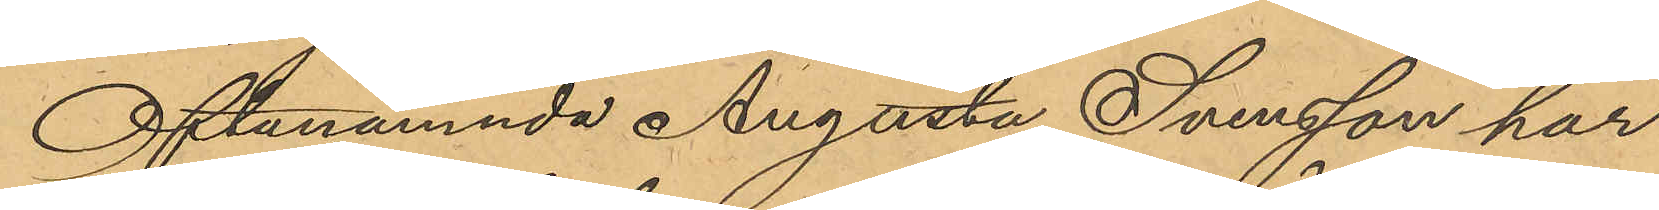Oftanämnda Augusta Svensson har
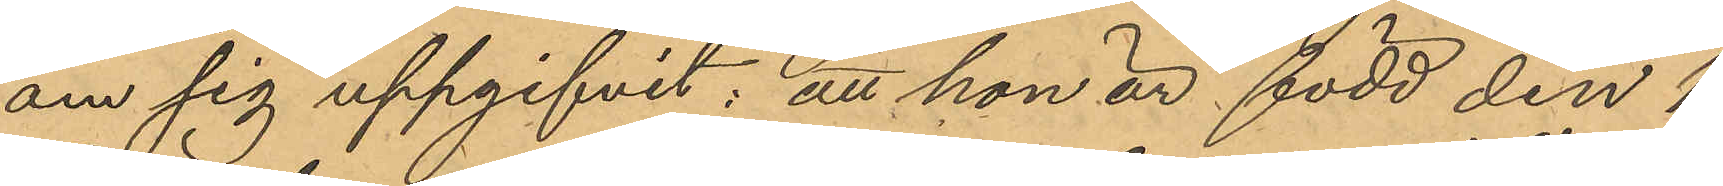om sig uppgifvit: att hon är född den 1
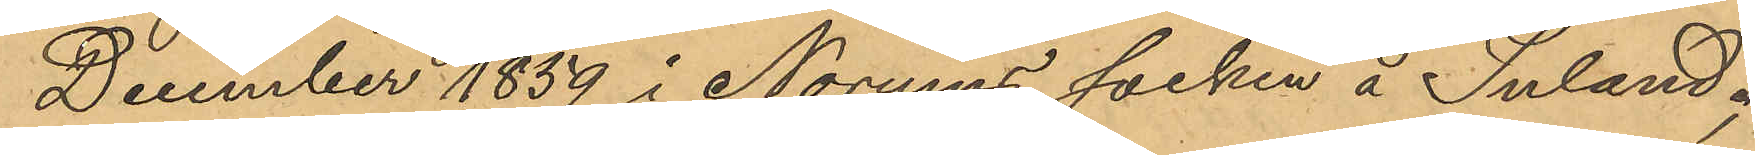December 1859 i Norums socken å Inland;
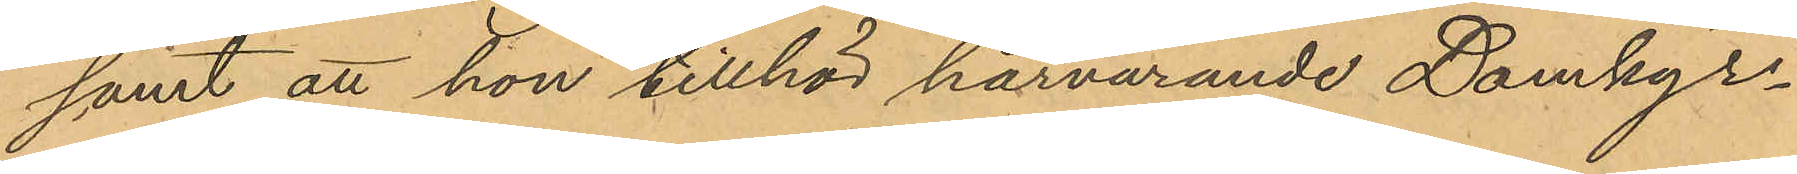samt att hon tillhör härvarande Domkyr¬
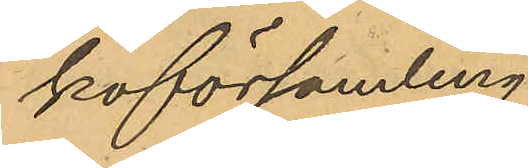koförsamling.
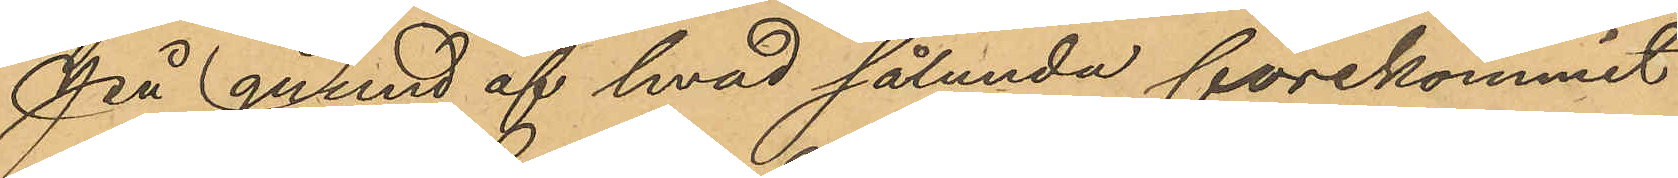På grund af hvad sålunda förekommit
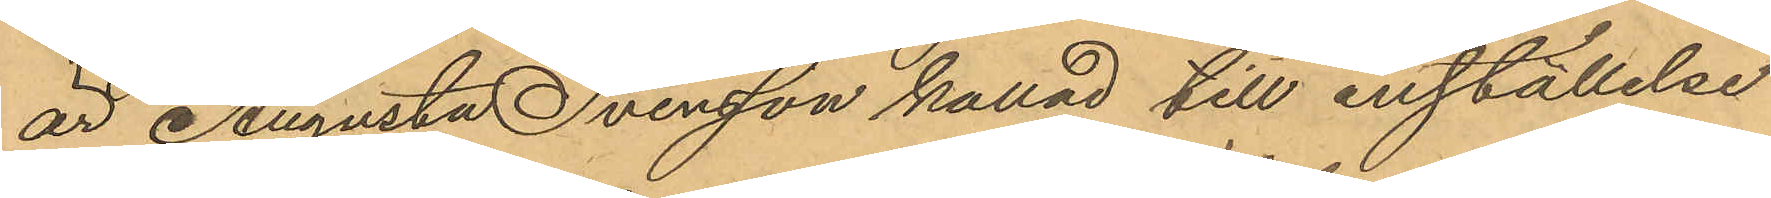är Augusta Svensson kallad till inställelse
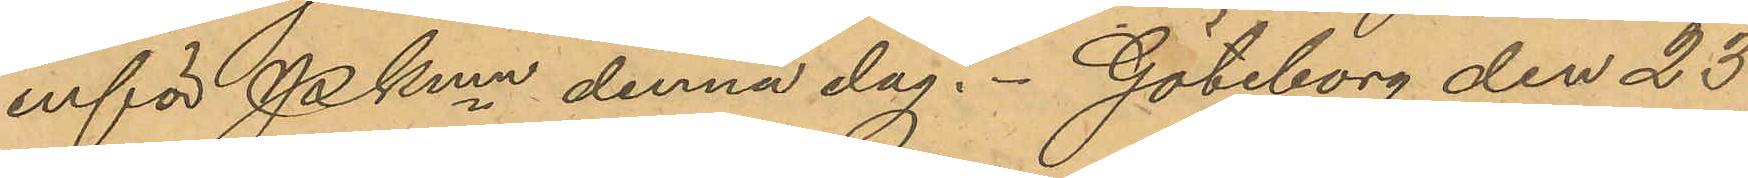inför Pkmn denna dag. Göteborg den 23
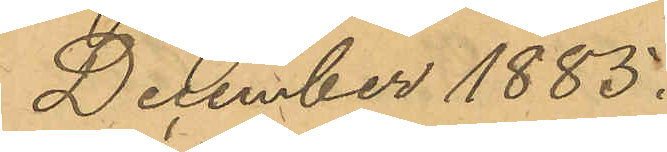December 1885.
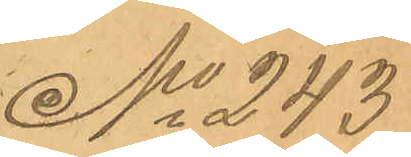No 243
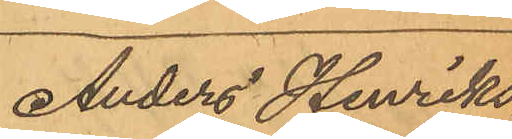Anders Henriks¬
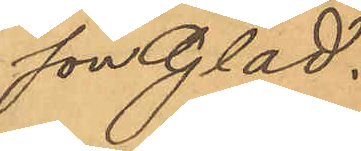son Glad.
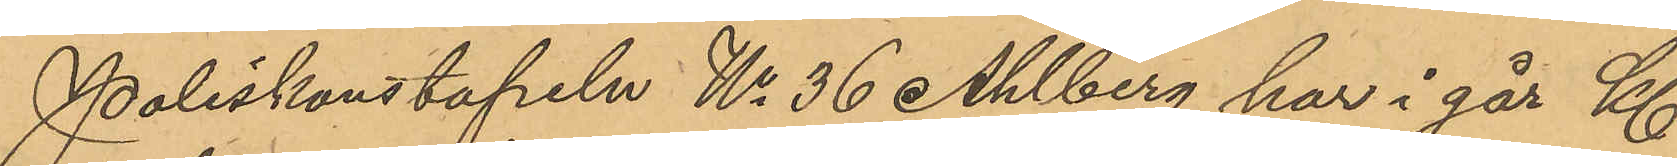Poliskonstapeln No 36 Ahlberg har i går Kl
